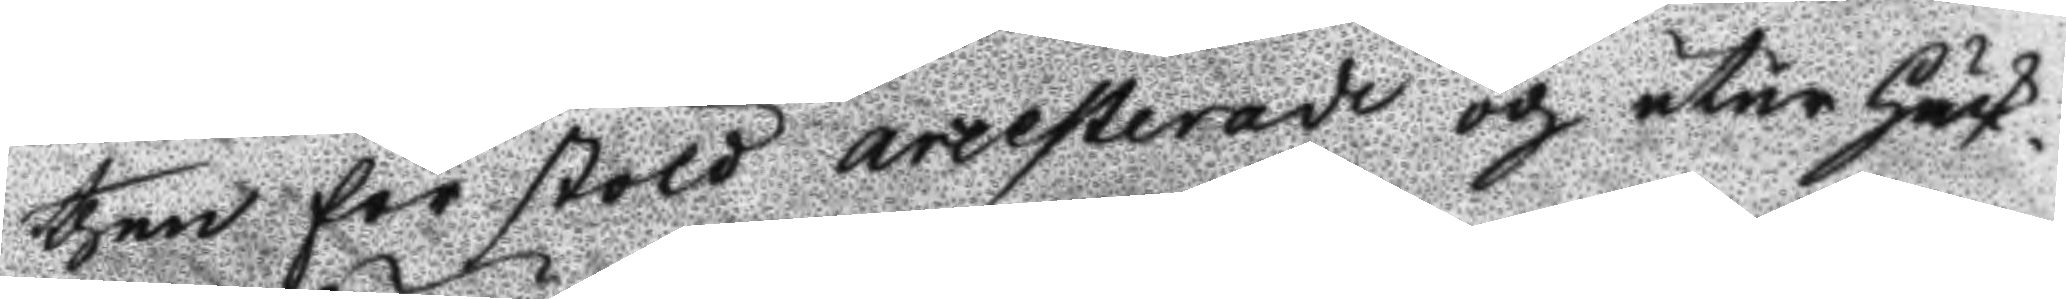then för stöld arresterade och utir Häck¬
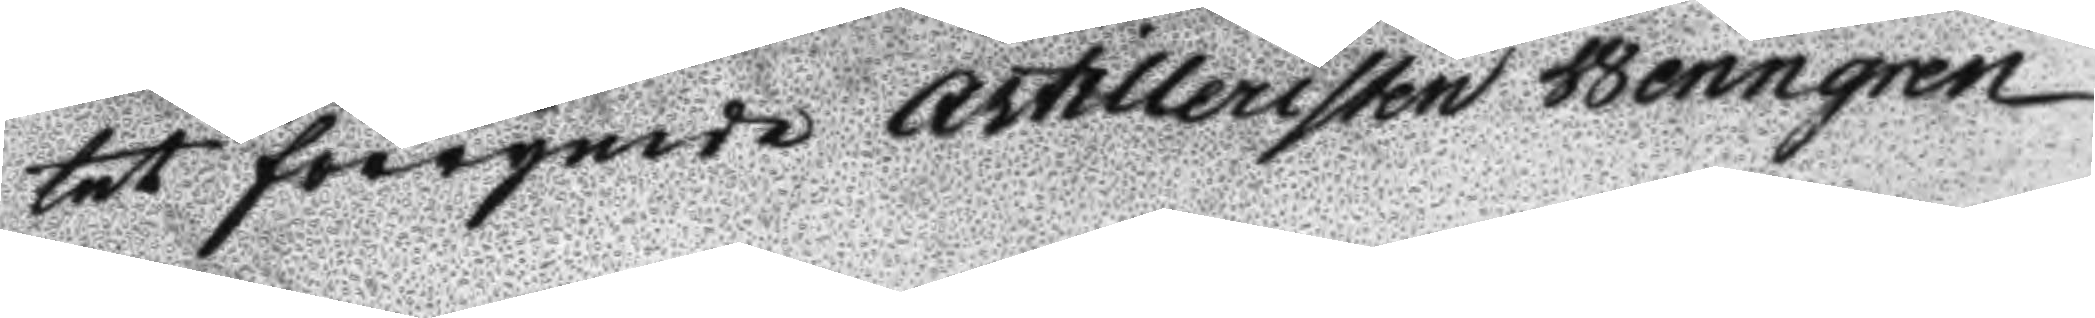tet förrymde Artillersiten Wenngren
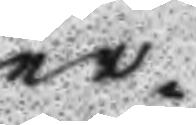er¬
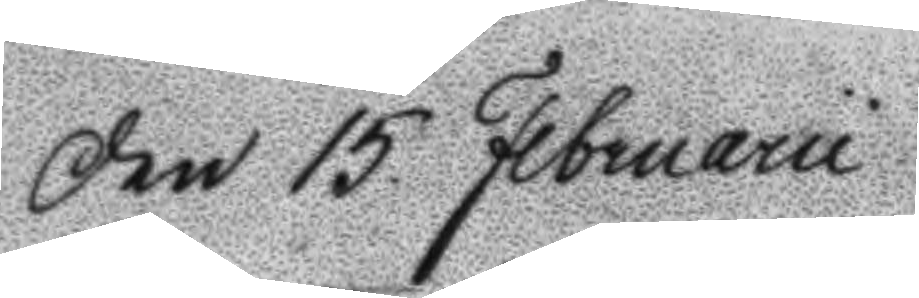Den 15. Februarii
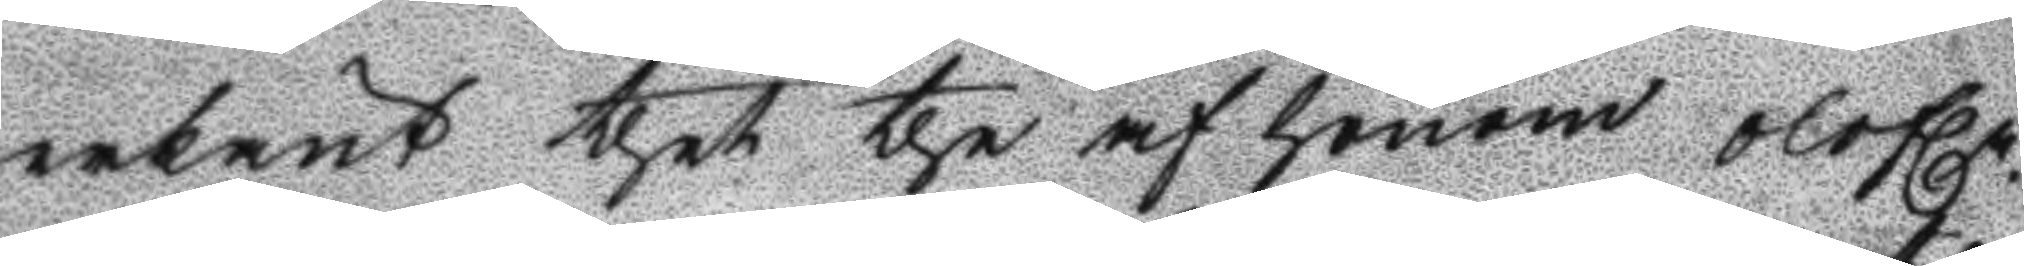erkänt thet the af honom olofln.
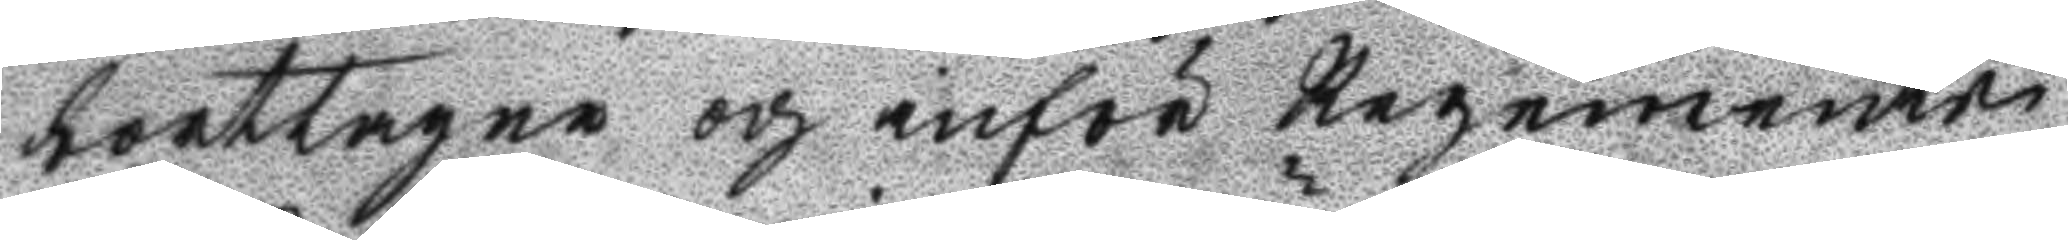borttagne och inför Regements
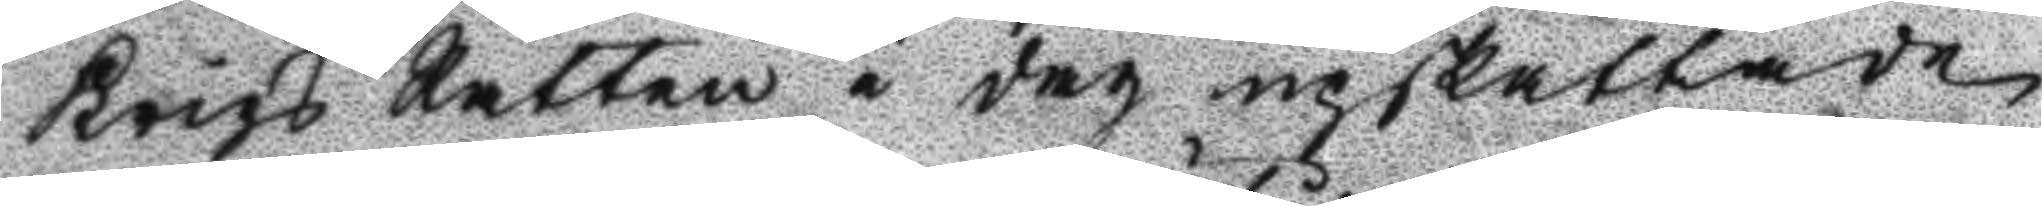Krigs Rätten i dag upskattade
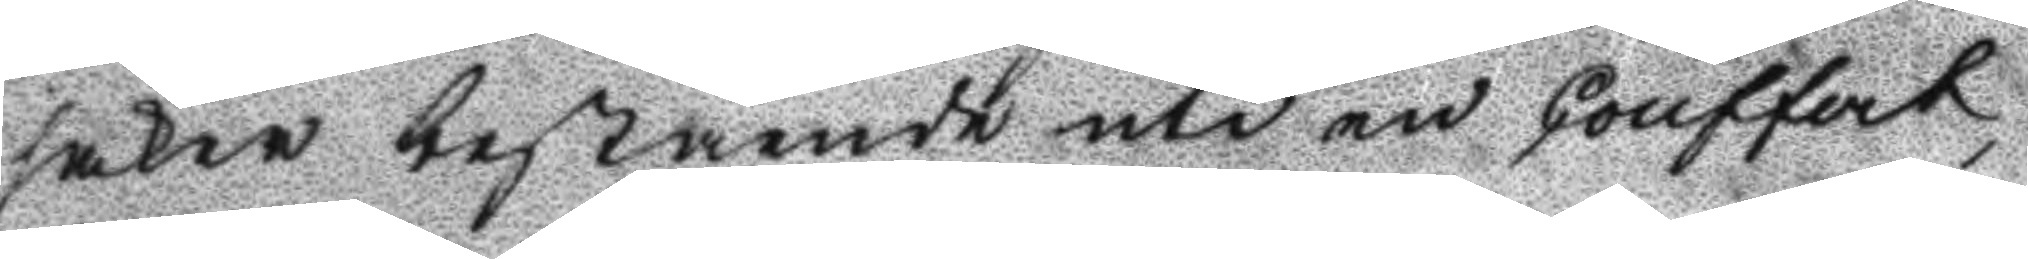saker bestående uti en Couffert
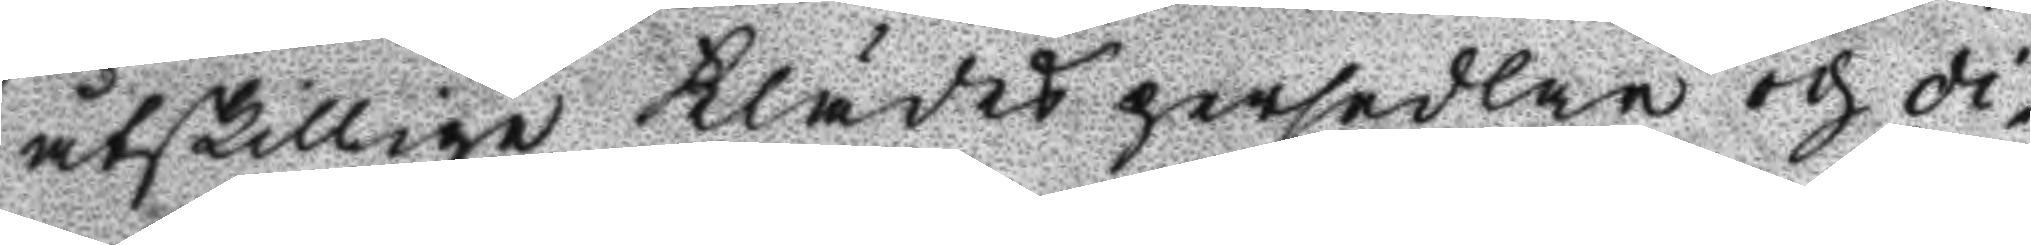åtskillige Klädespersedlar och di¬
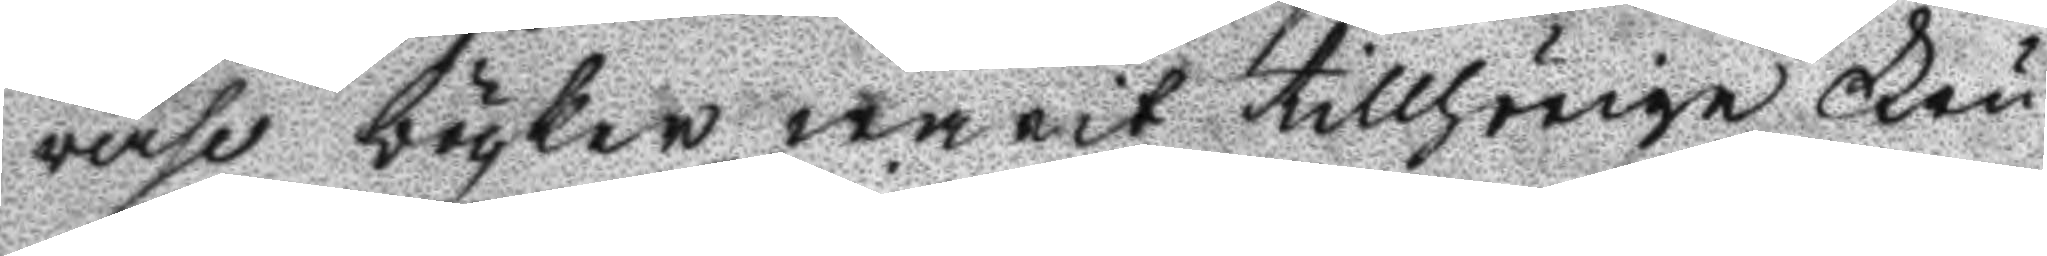verse böcker warit tillhörige Fru
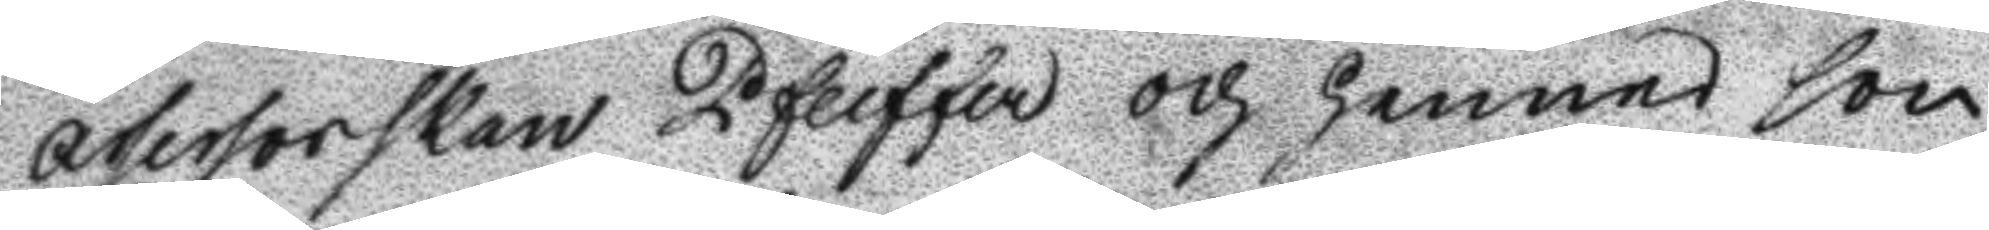Assersorskan Pfeiffer och hennes son
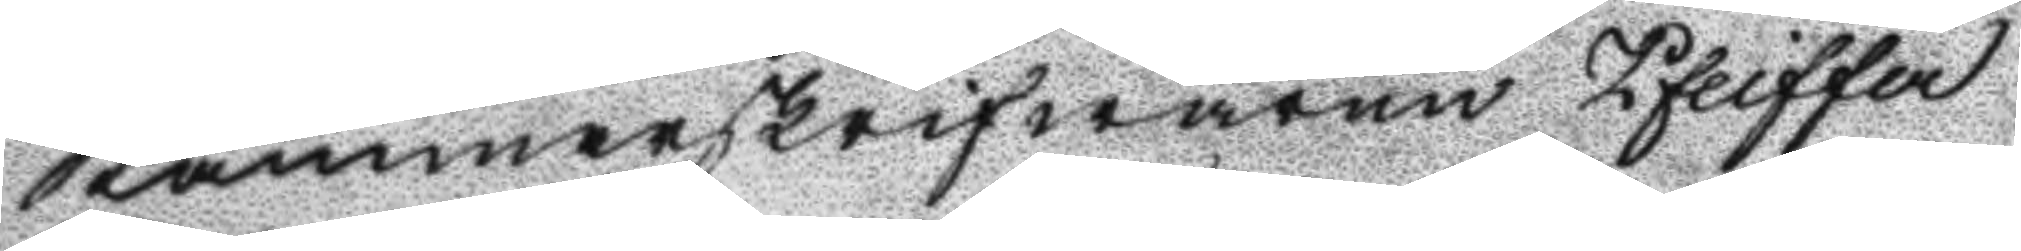Kammarskrifwaren Pfeiffer
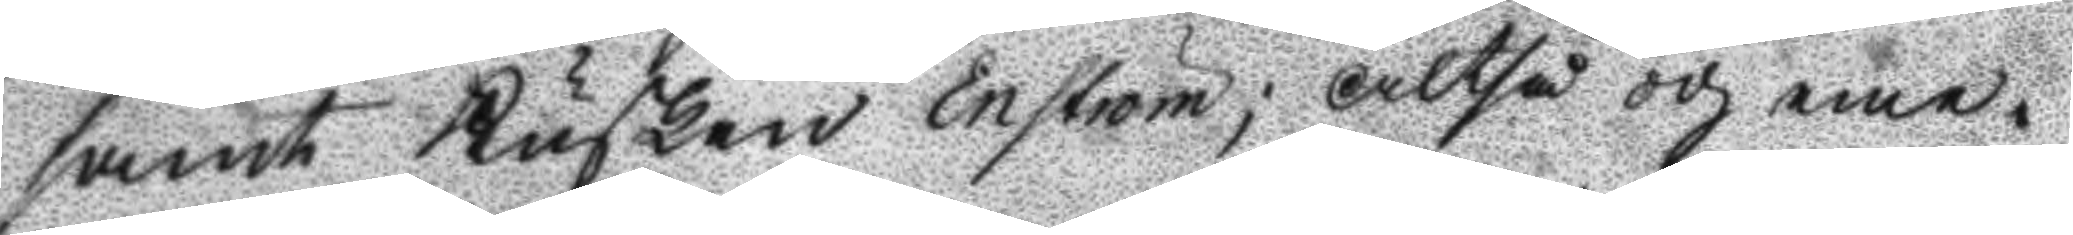samt Kusken Enström; Altså och eme¬
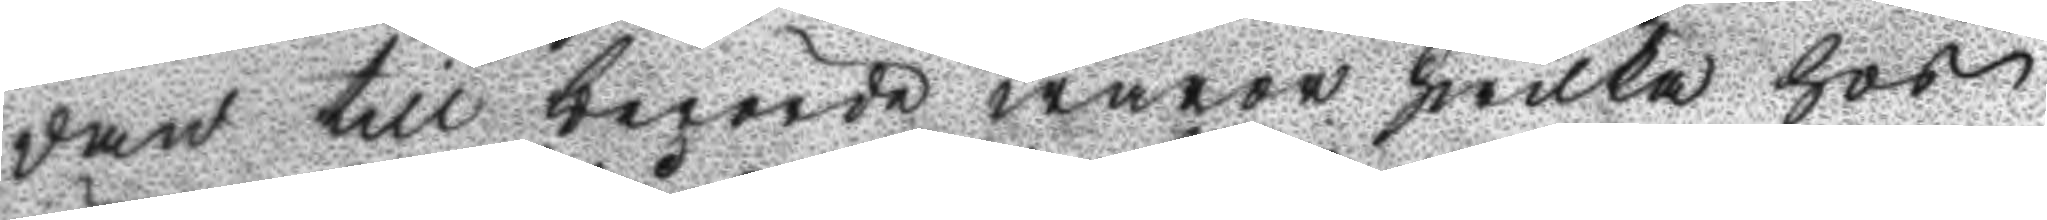dan till berörde waror hwilka hos 
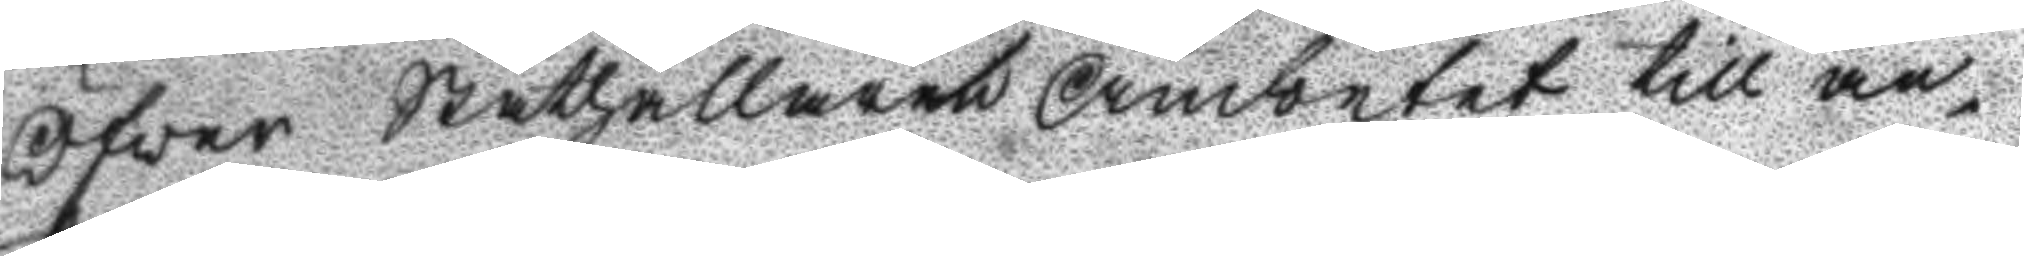Öfver Ståthållare Ämbetet till an¬
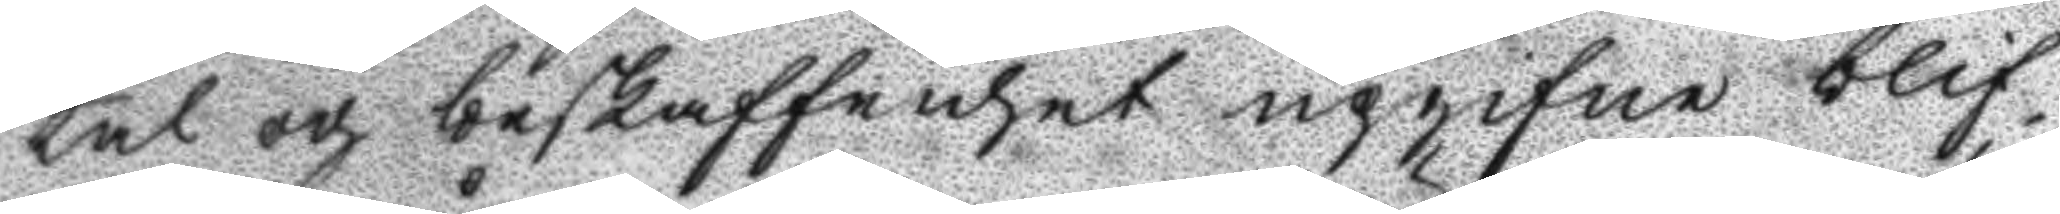tal och beskaffenhet upgifne blif¬
